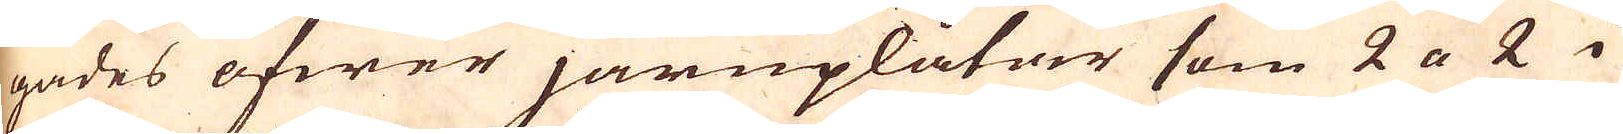gades öfwer järnplåtwer som 2 a 2 i
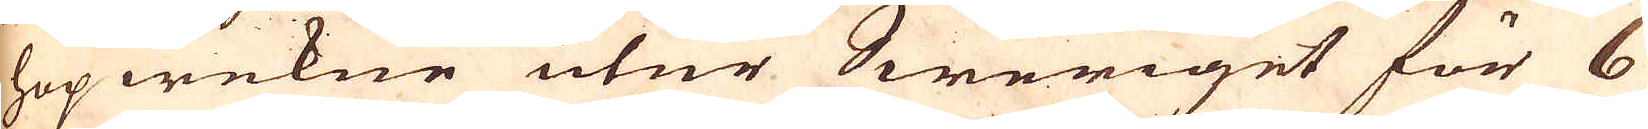hopwekne utur Sweriget för 6
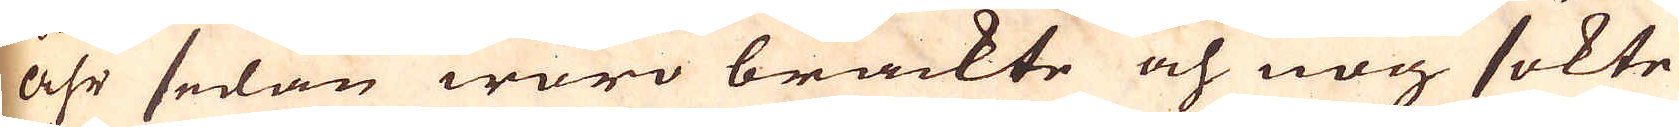åhr sedan woro brackte och nog sökte
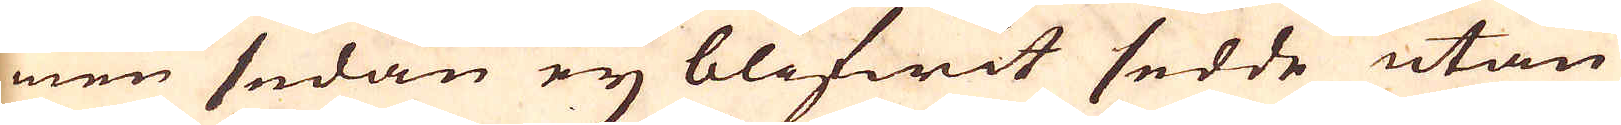men sedan eij blifwit sedde utan
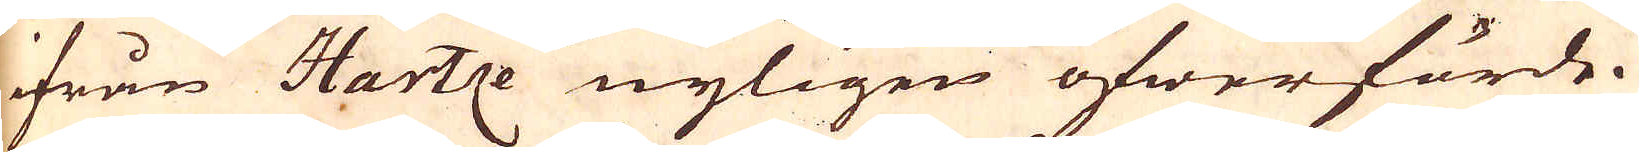ifrån Hartze nyligen öfwerförde.
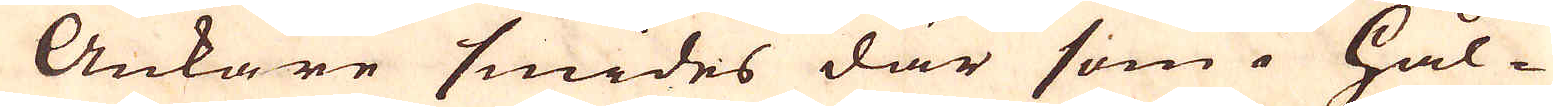Ankare smides där som i Hål-
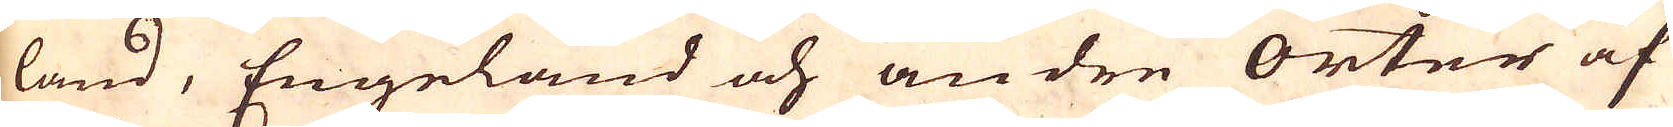land, Engeland och andre Orter af
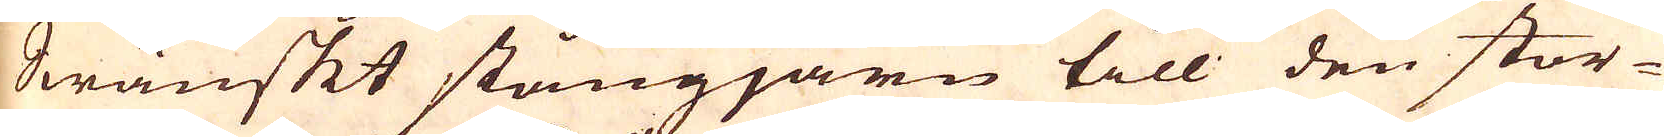Swänskt stångjärn till den stor-
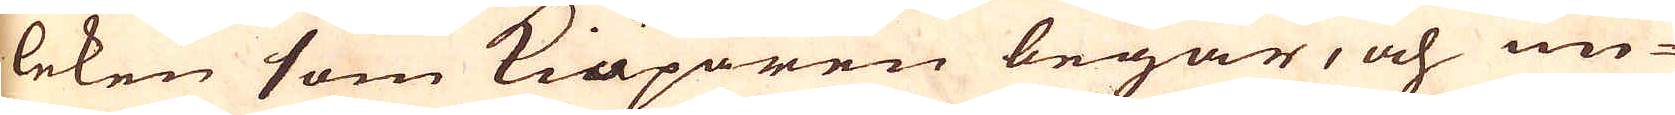leken som Kiöparen begär, och un-
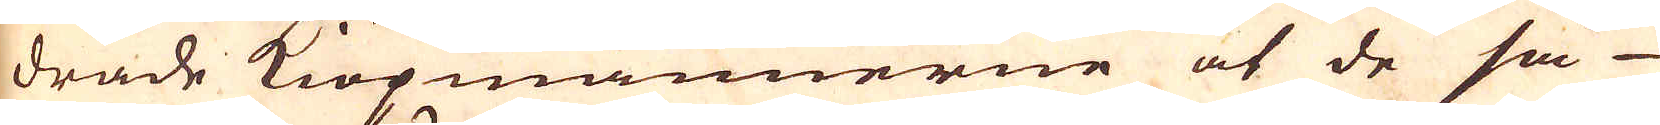drade Kiöpmännerne at de så
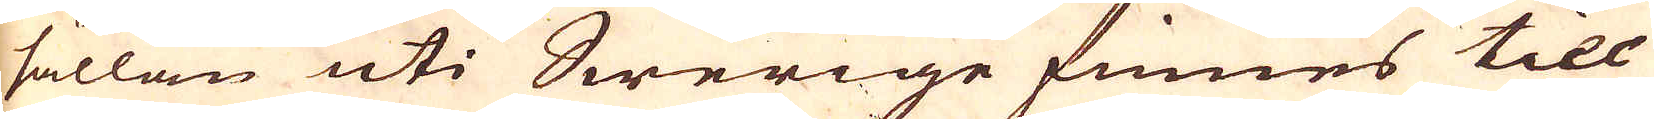sällan uti Swerige finnes till
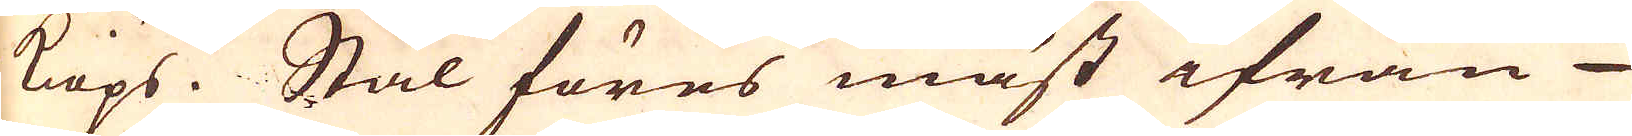kiöps. Stål föres mäst ifrån
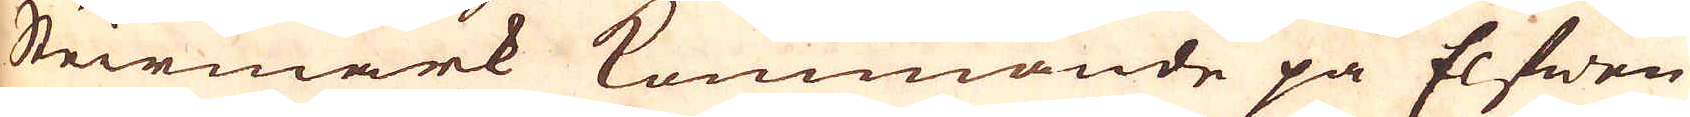Steirmark kommande på Elfwen
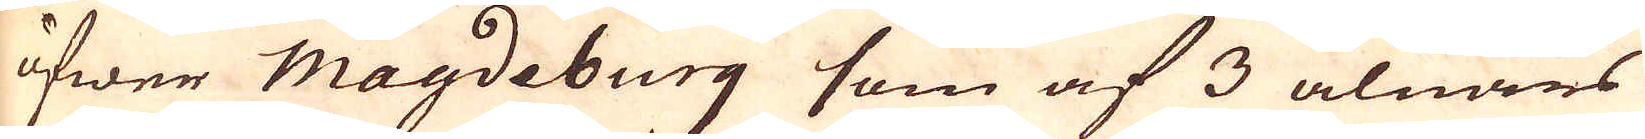öfwer Magdeburg som af 3 alnars
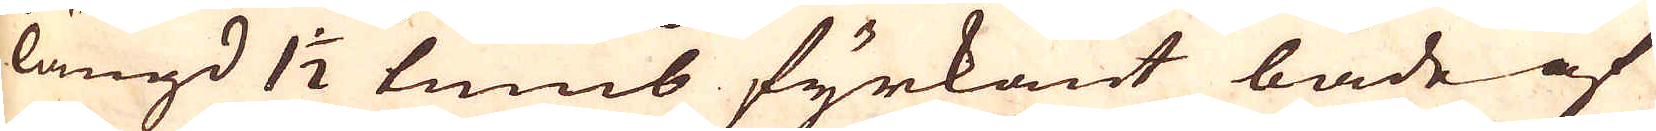längd 1 1/2 tums fyrkant både af
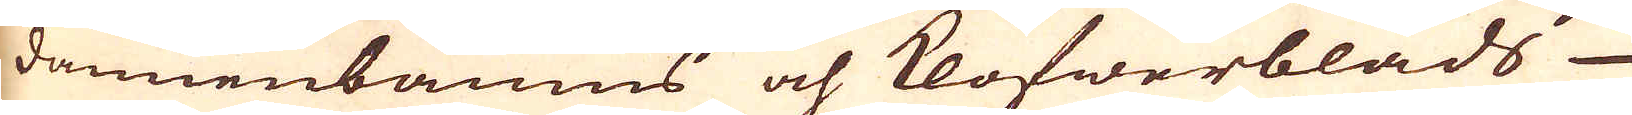dannenbaums och klöfwerblads-
